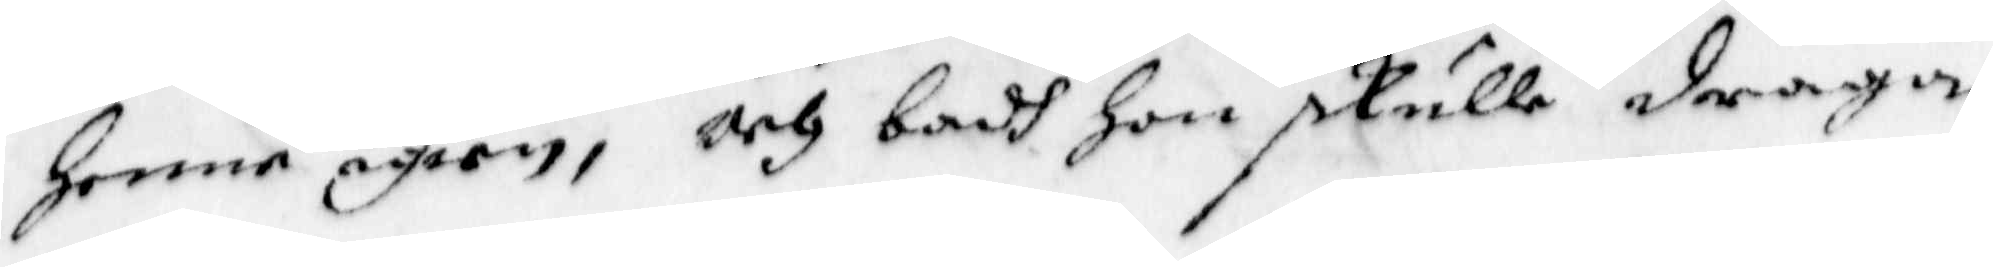Henne igien, och badh Hon skulle draga
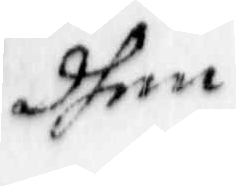dhen
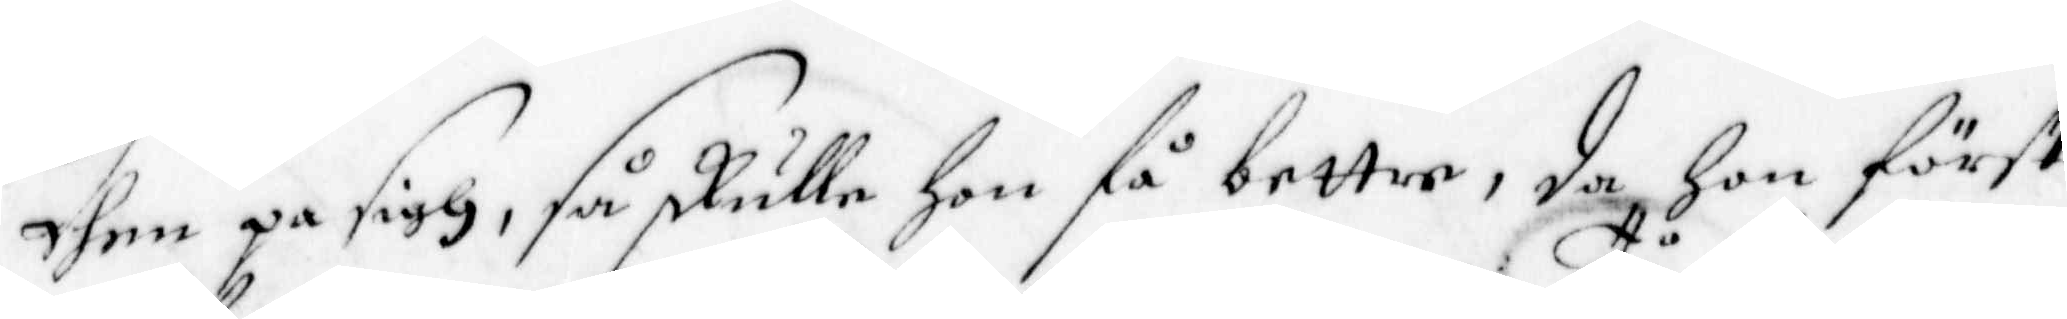dhen på sigh, så skulle hon få bettre, da Hon Först
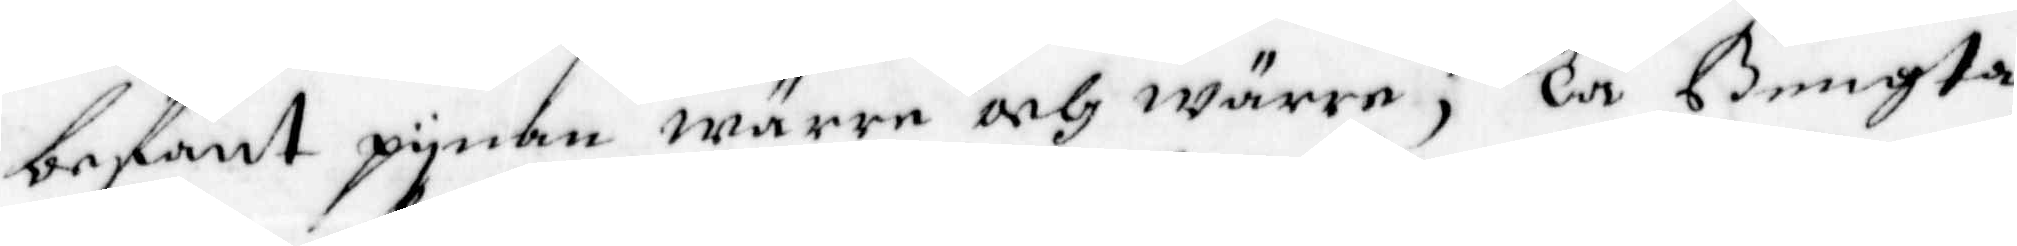befant pynan wärre och wärre; Tå Bengta
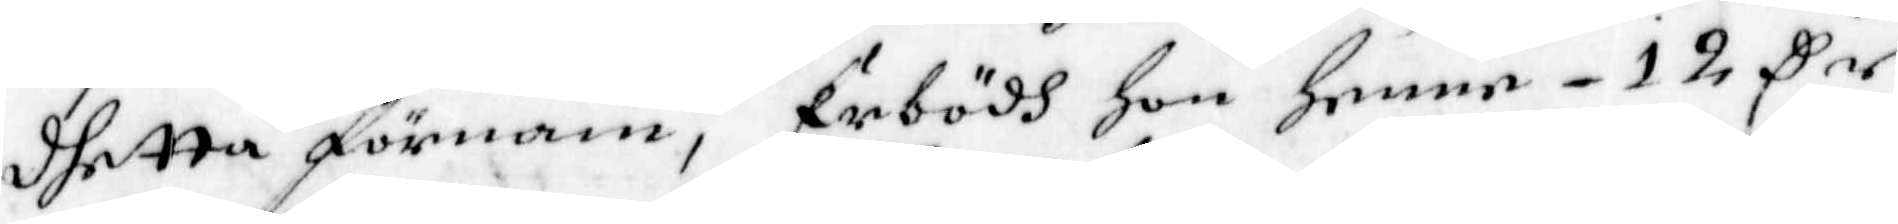dhetta förnam, Erbödh Hon henne 12 Cer
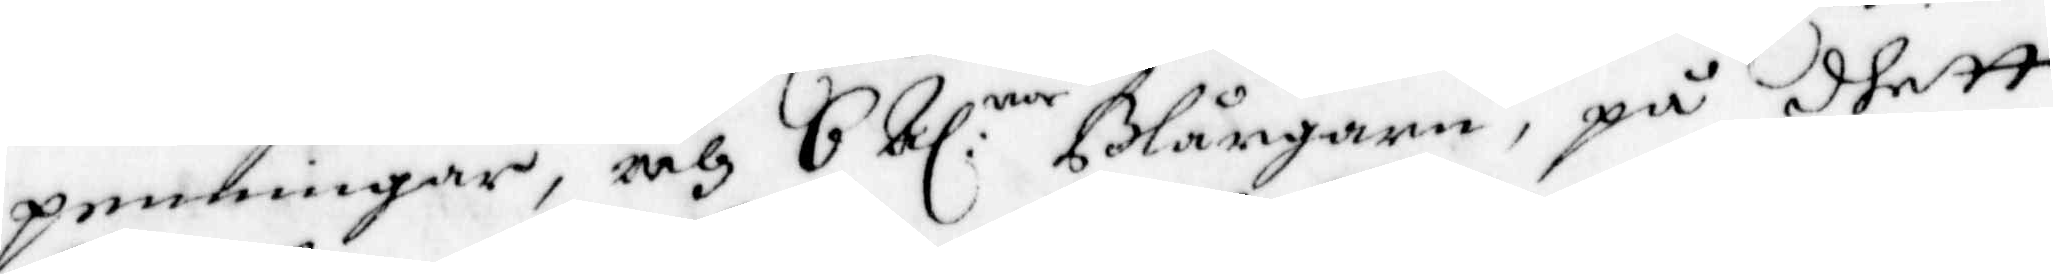penningar, och 6 bl:nor Blångarn, på dhett
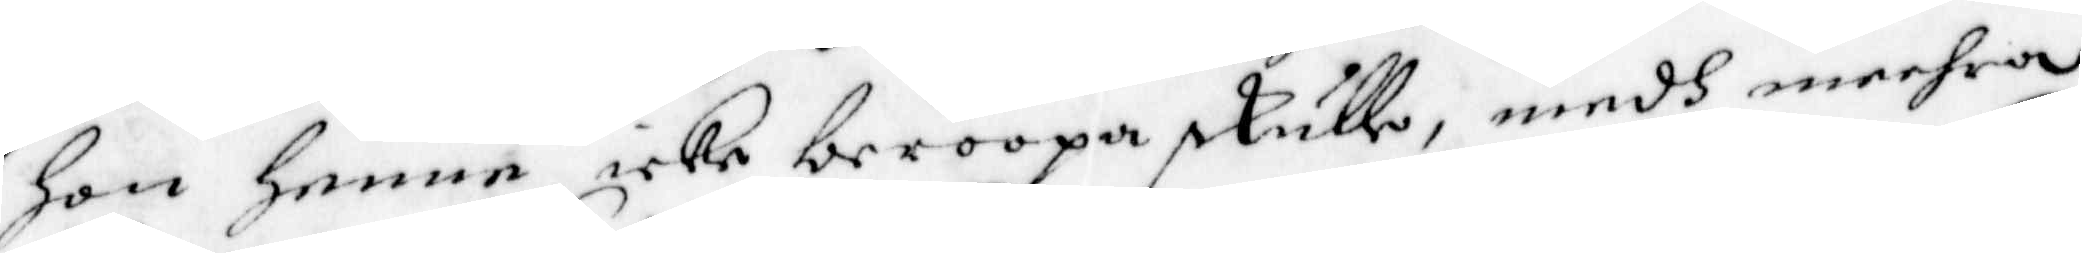Hon henne icke beroopa skulle, medh meehra
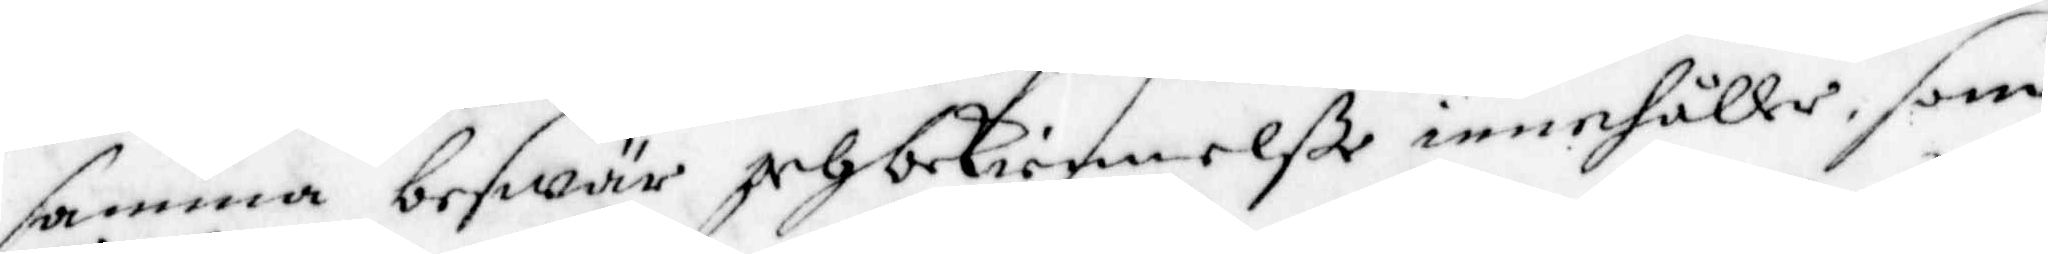samma beswär och bekiennelße innehåller, som
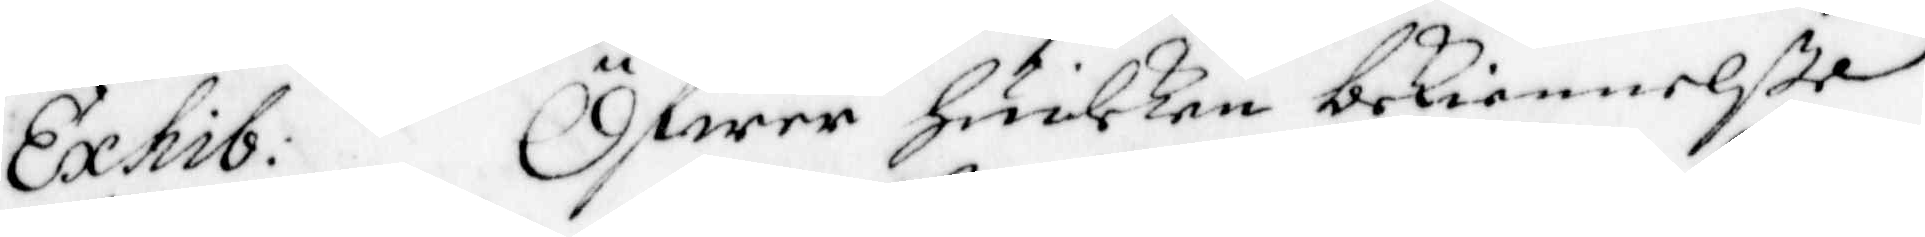Exhib: Öfwer huilken bekiennelße
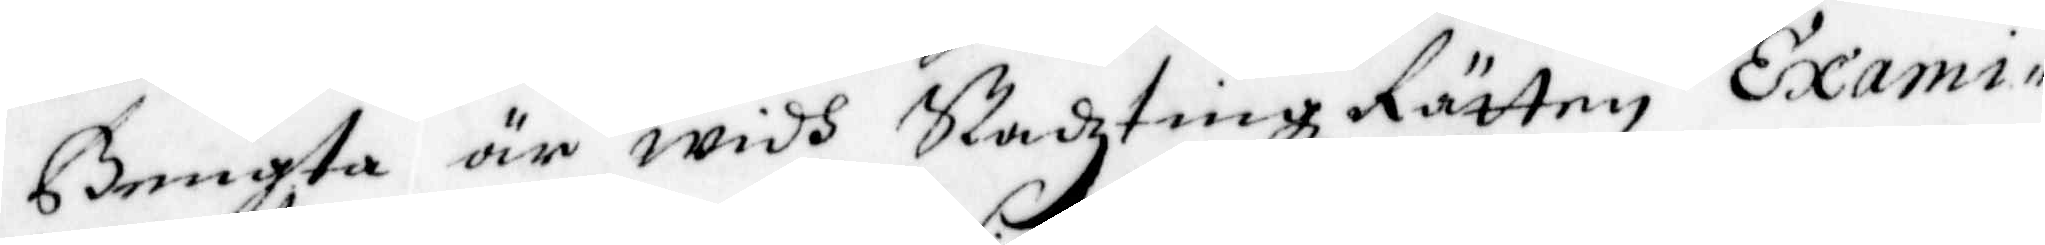Bengta är widh StadztingzRätten Exami¬
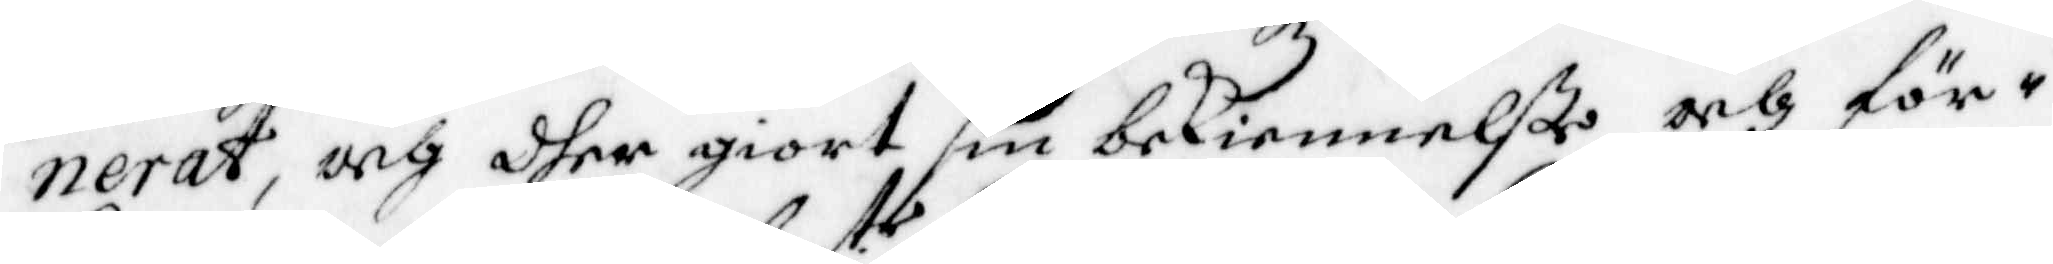nerat, och dher giort sin bekiennelße och för¬
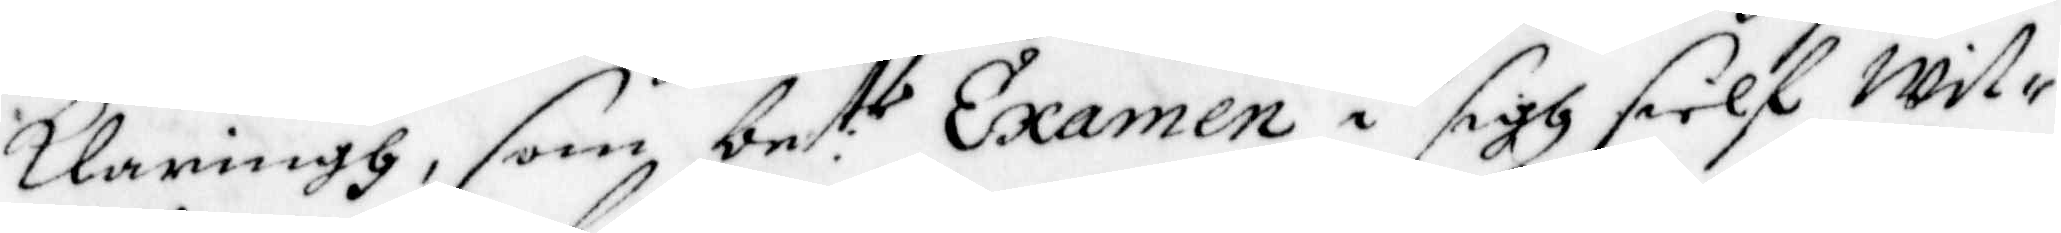klaringh, som be:te Examen i sigh sielf witt¬
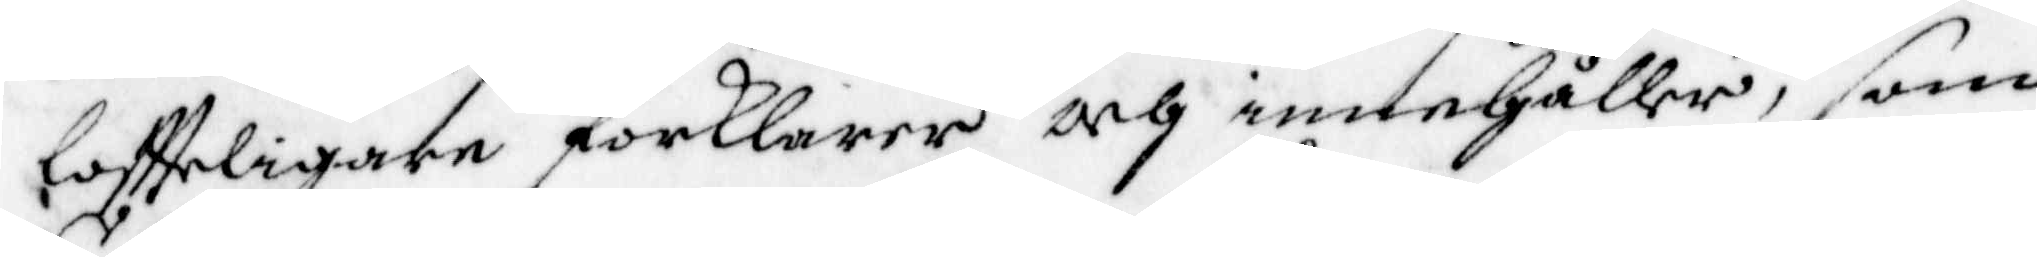loftteligare förklarar och innehåller, som
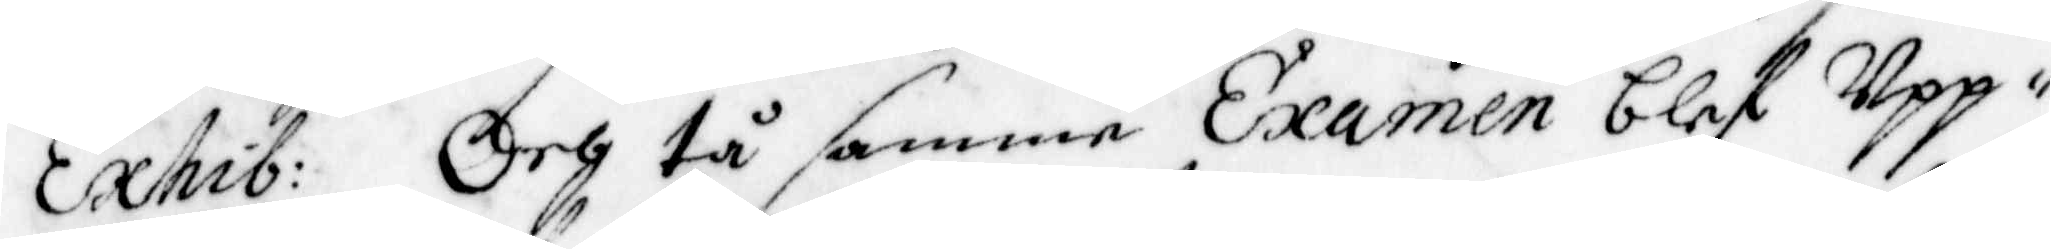Exhib: Och tå samme Examen blef Upp¬
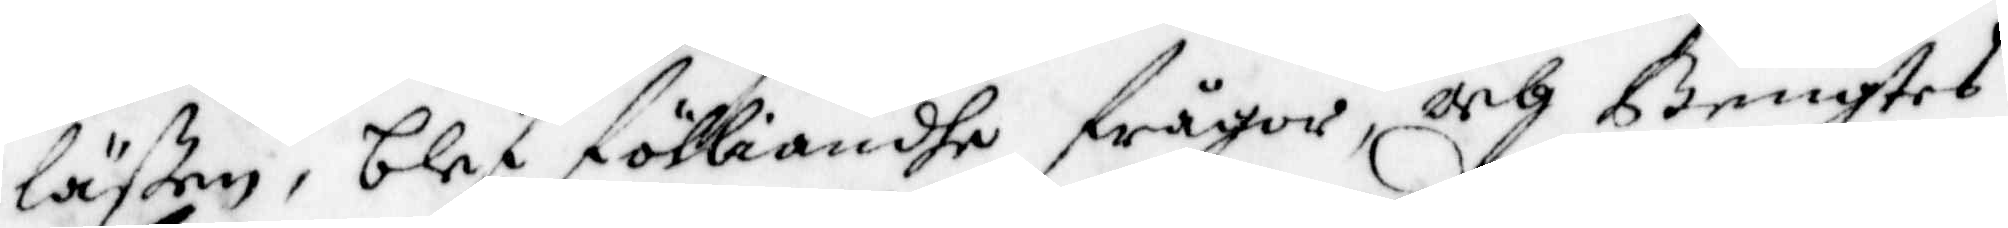läßen, blef Fölliande Frågor, och Bengtes
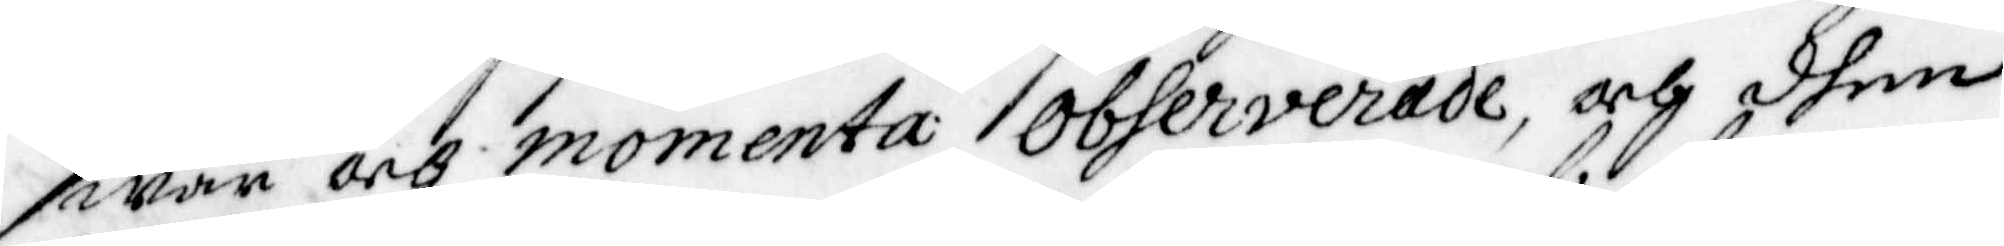swar och momenta observerade, och dhen
